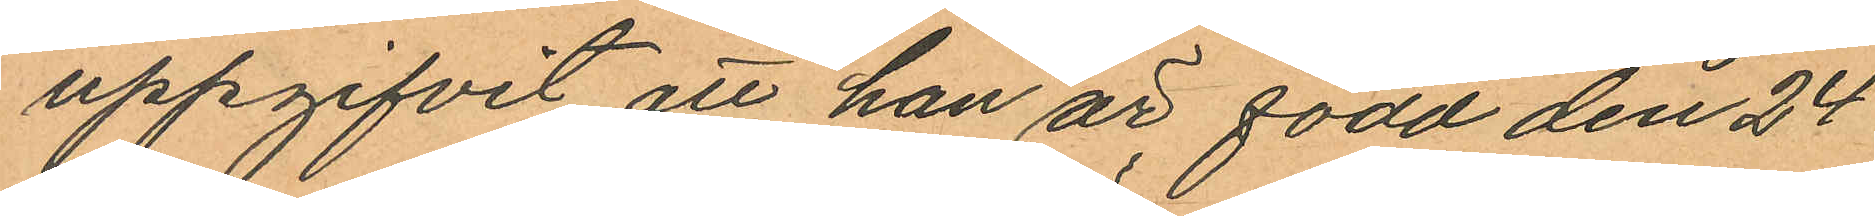uppgifvit att han är född den 24
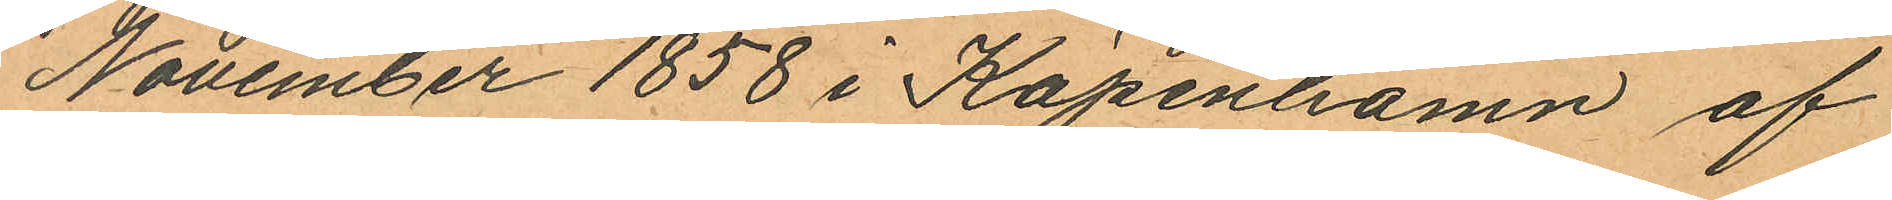November 1858 i Köpenhamn af
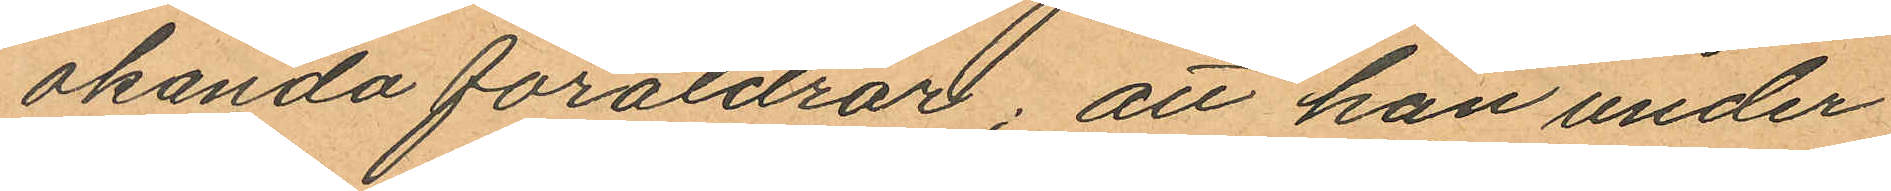okända föräldrar; att han under
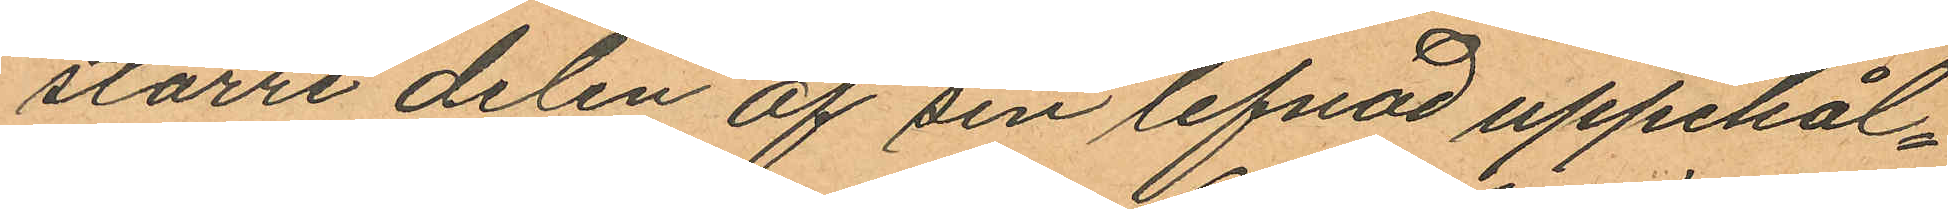större delen af sin lefnad uppehål¬
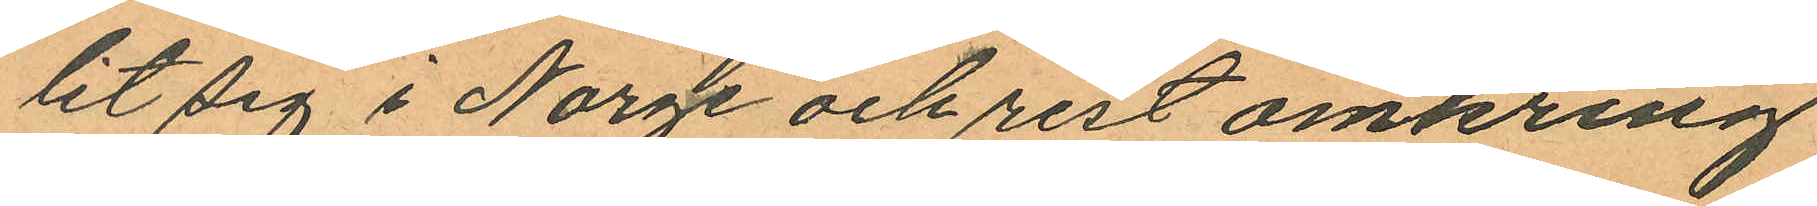lit sig i Norge och rest omkring
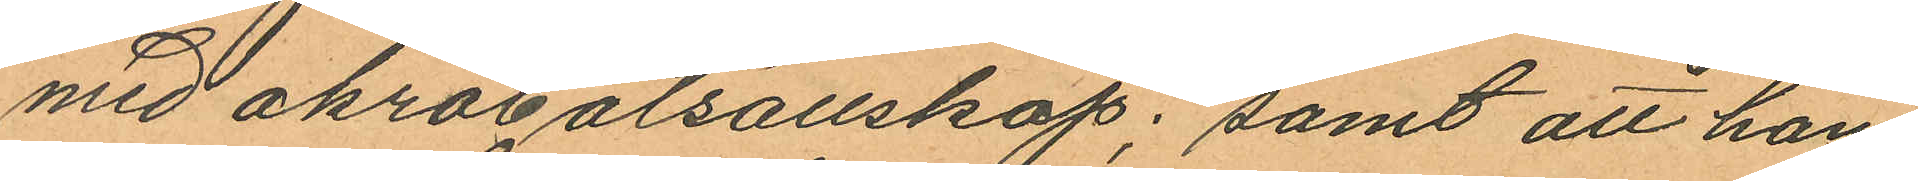med akrobatsällskap; samt att han
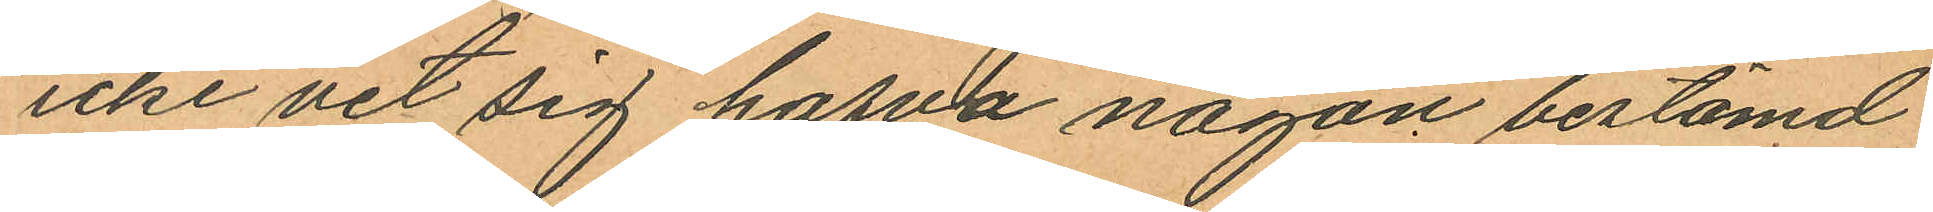icke vet sig hafva någon bestämd
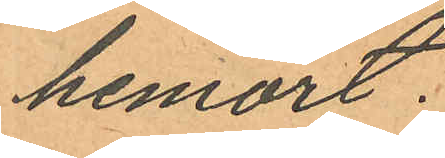hemort.
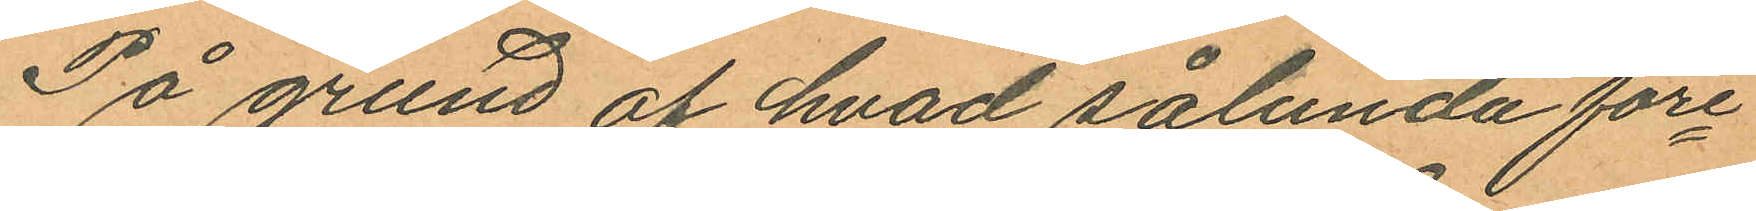På grund af hvad sålunda före¬
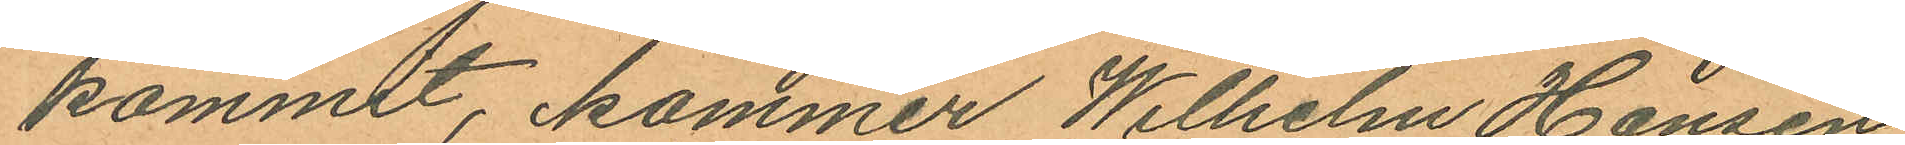kommit, kommer Wilhelm Hansen
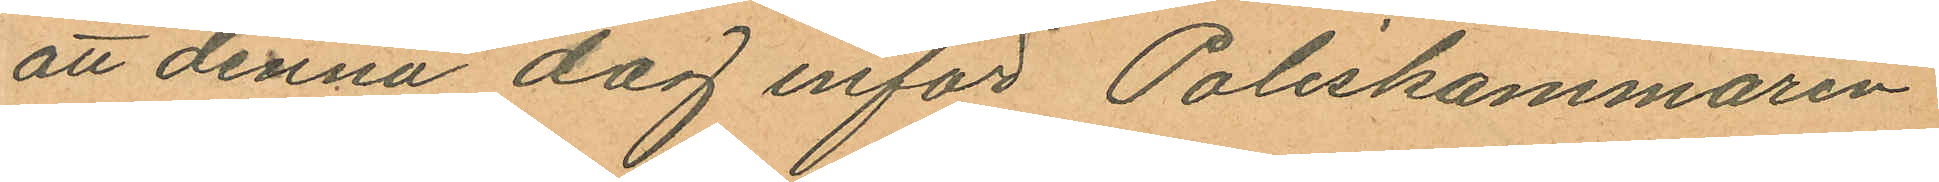att denna dag inför Poliskammaren
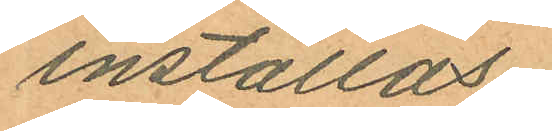inställas.
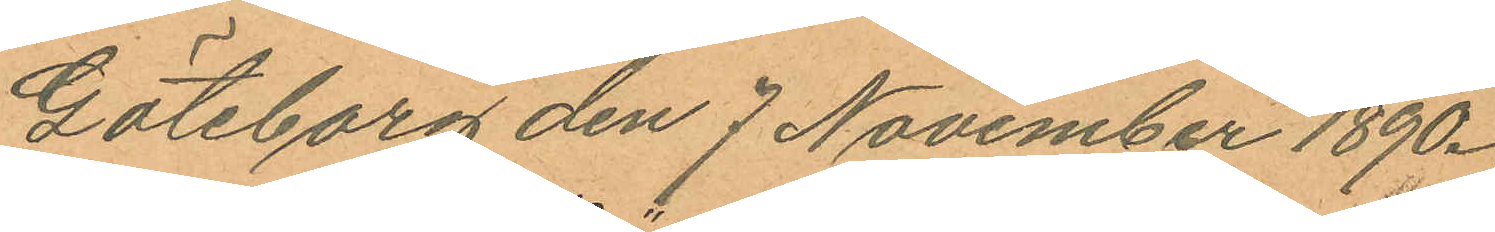Göteborg den 7 November 1890.
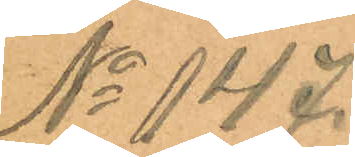No 147.
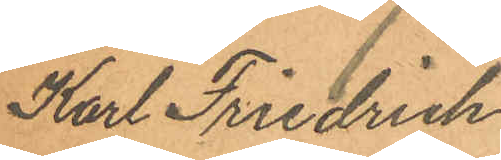Karl Friedrick
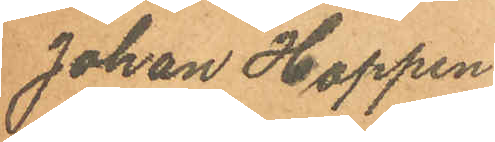Johan Hoppen
